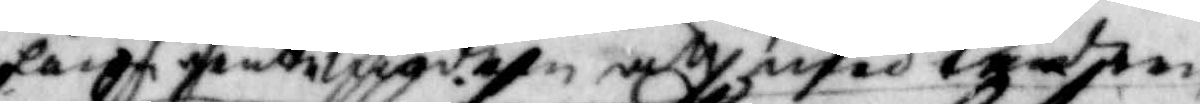låna graemgden at med taden
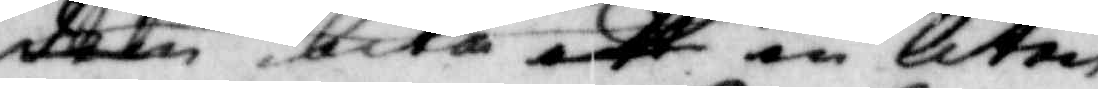dem bita ett en liten
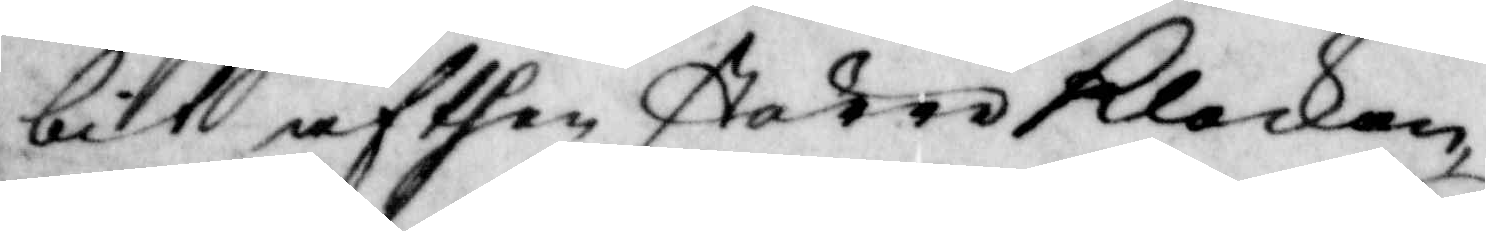bit af then större klockan,
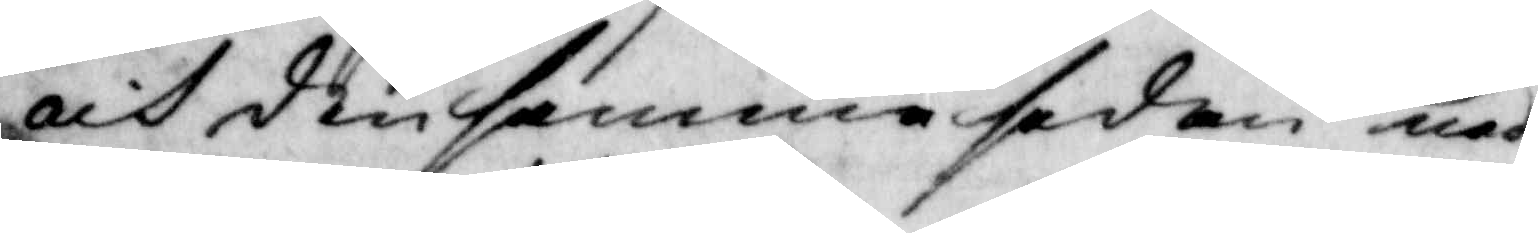och den samma sedan ned¬
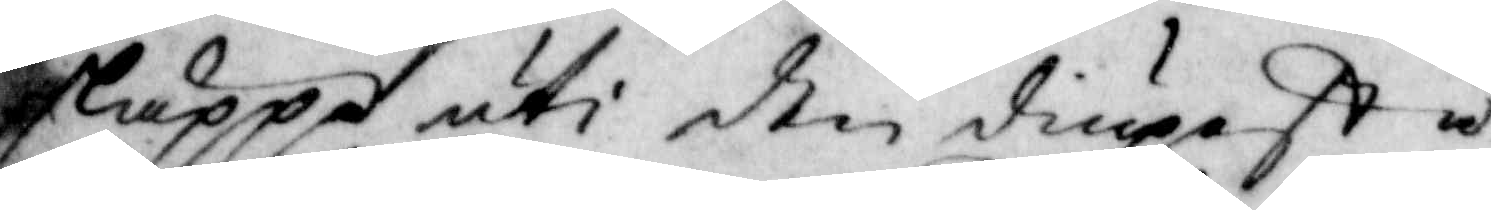släppa uti den diupeste
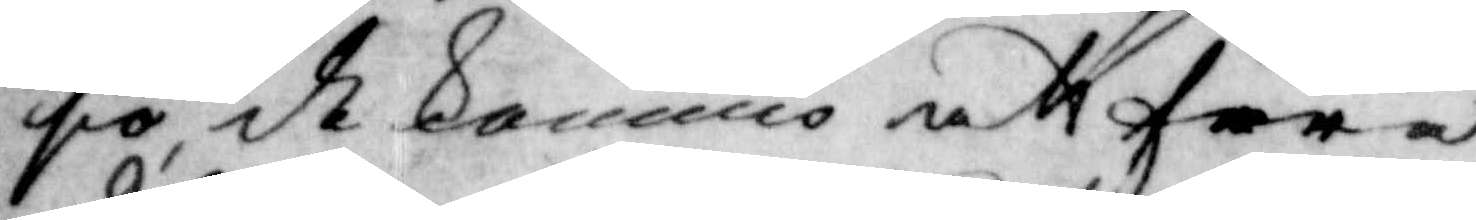siö, de kommo att fara
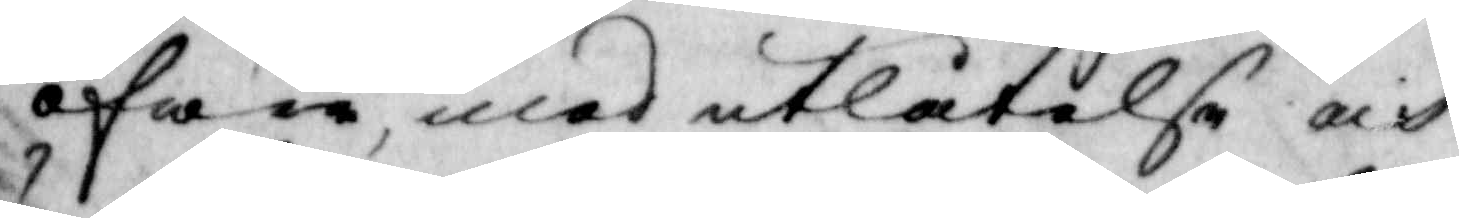öfwer, med utlåtelse och
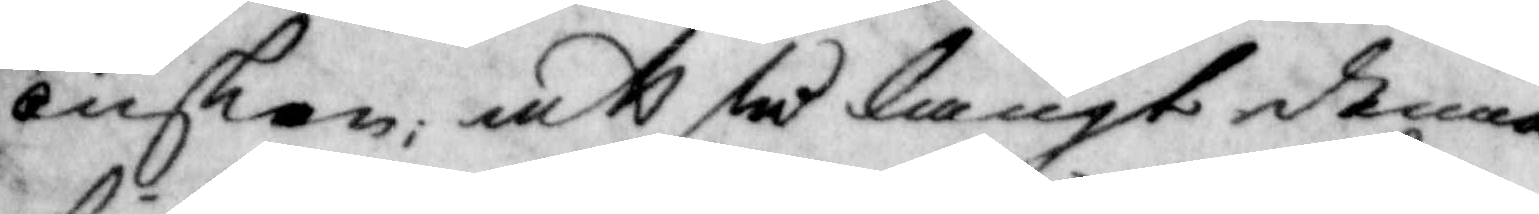önskan, att så långt denna
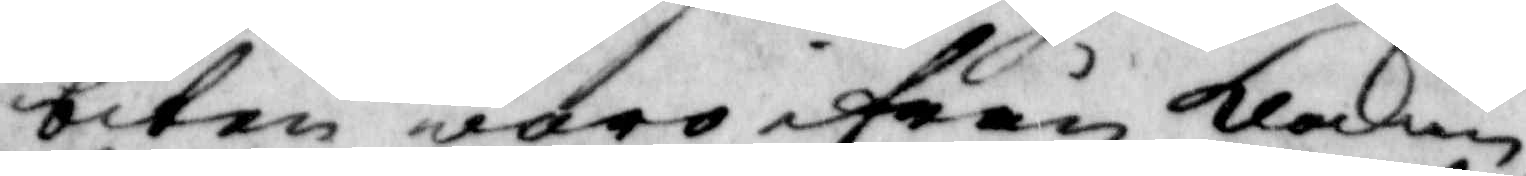biten woro ifrån klockan,
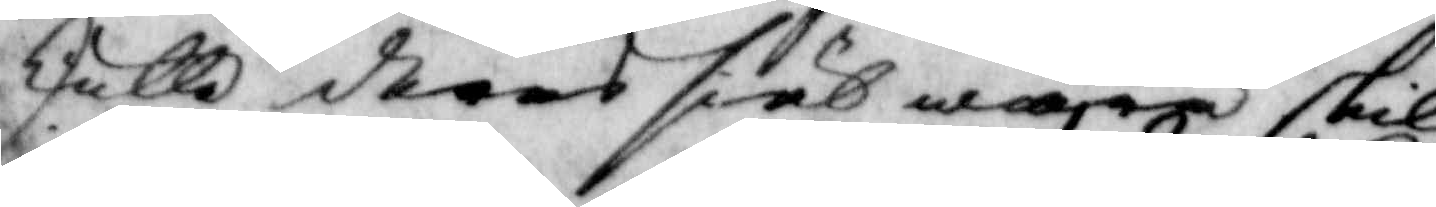skulle dheras siäl wara skild
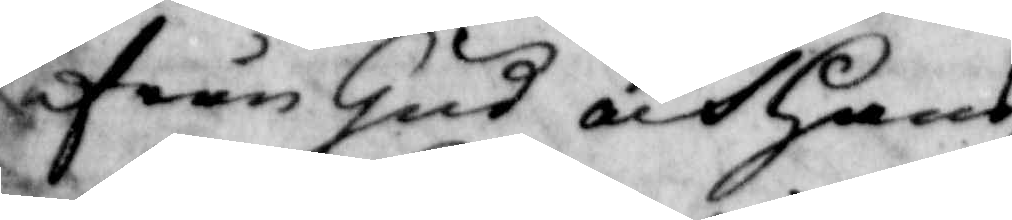ifrån Gus och hans
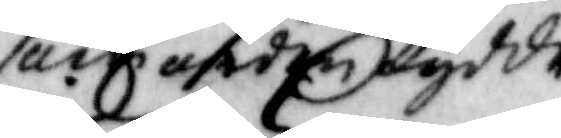som orden lydde
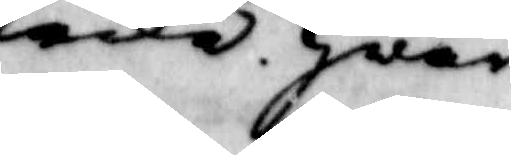icke hwar¬
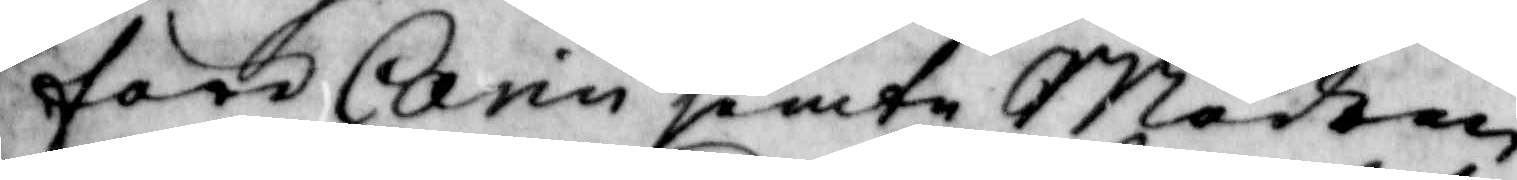före Carin jemte Modren
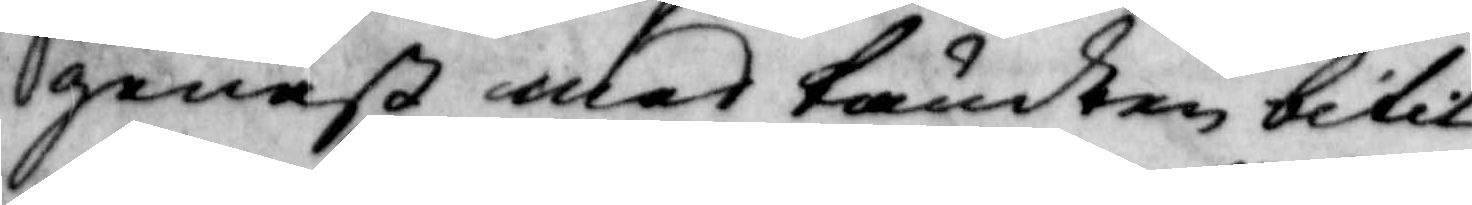genast med tändern bitit
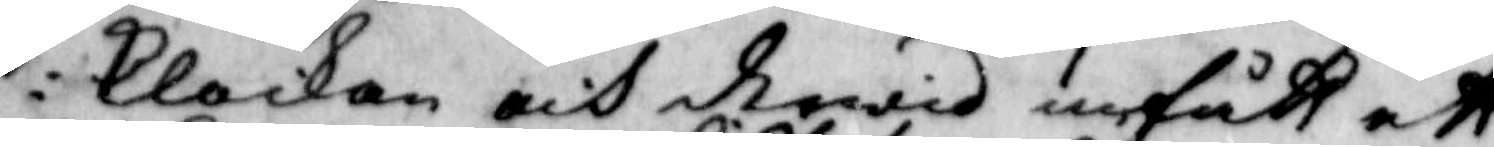i klockan och dervid undfått ett
